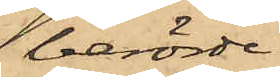berörde
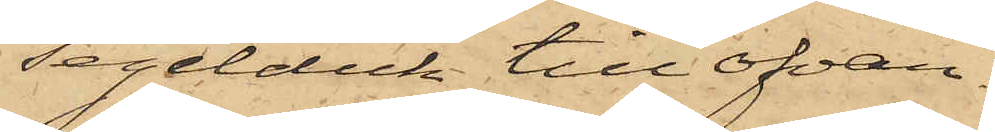segelduk till ofvan¬
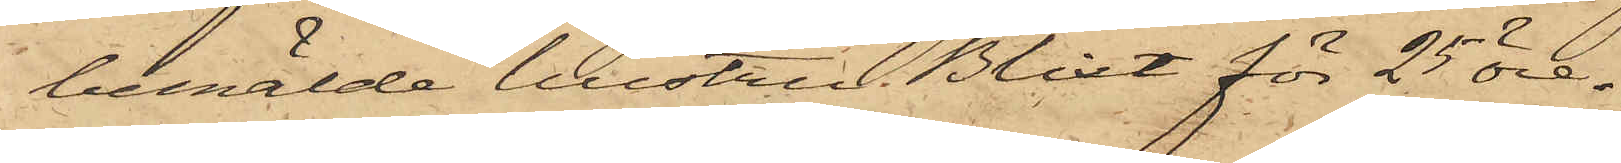bemälde hustru Blixt för 25 öre.
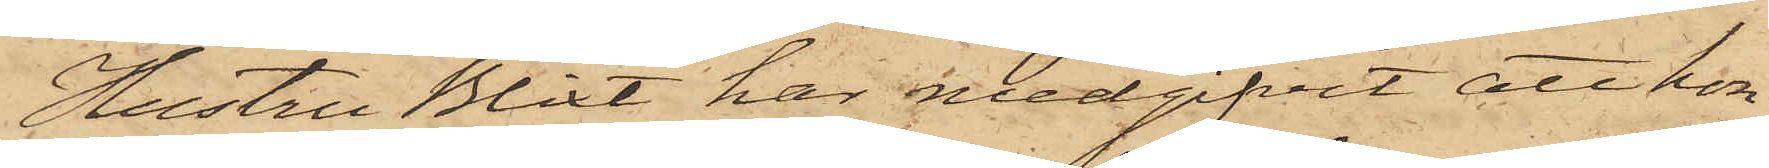Hustru Blixt har medgifvit att hon
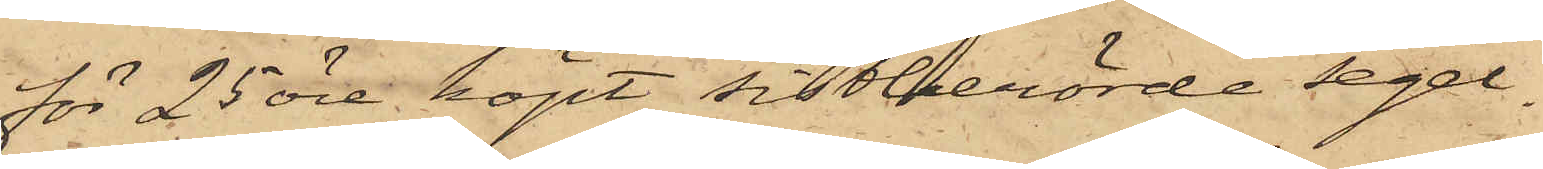för 25 öre köpt sistberörde segel¬
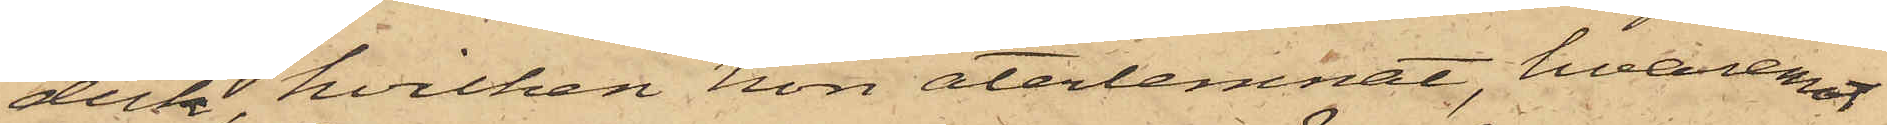duk, hvilken hon återlemnat, hvaremot
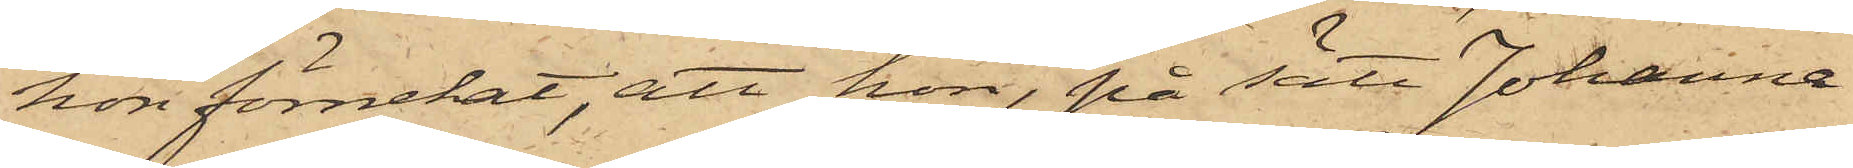hon förnekat, att hon, på sätt Johanna
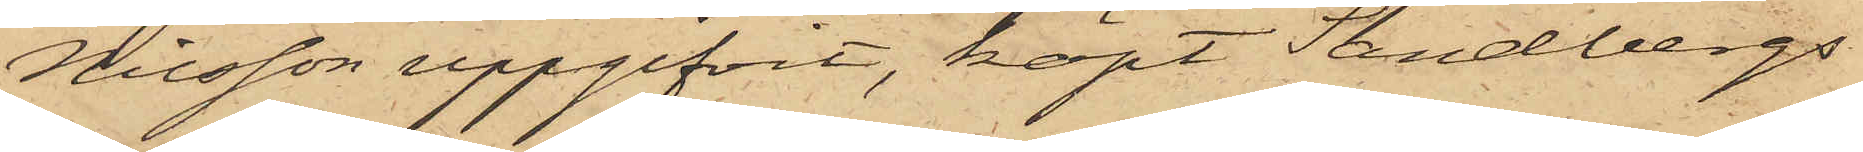Nilsson uppgifvit, köpt Sandbergs
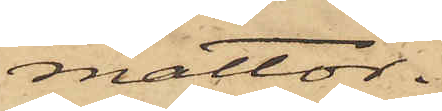mattor.
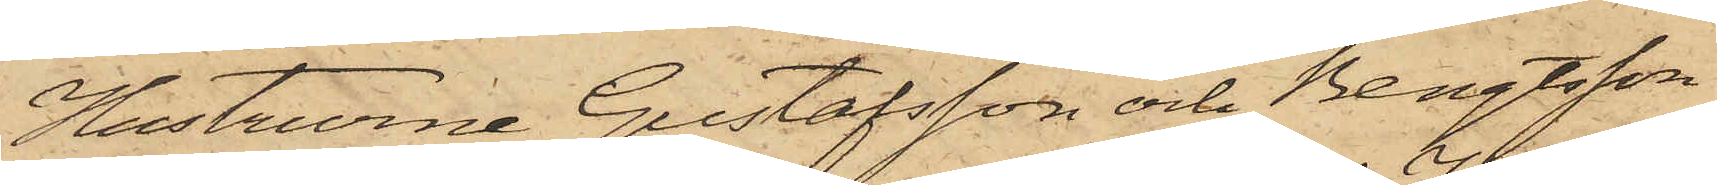Hustrurna Gustafsson och Bengtsson
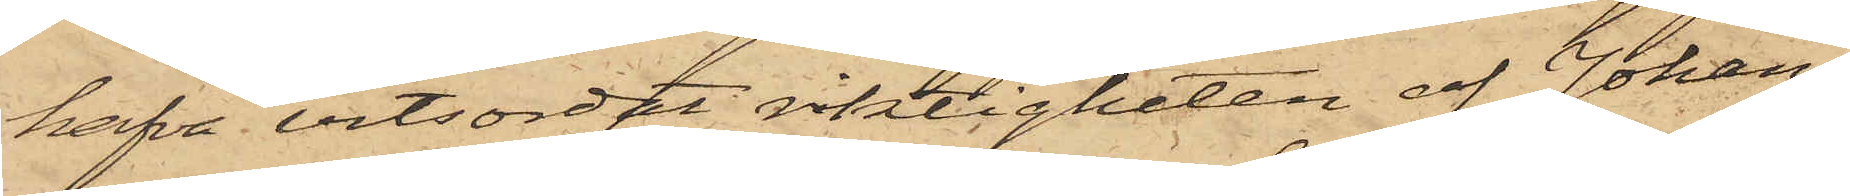hafva vitsordat riktigheten af Johan¬
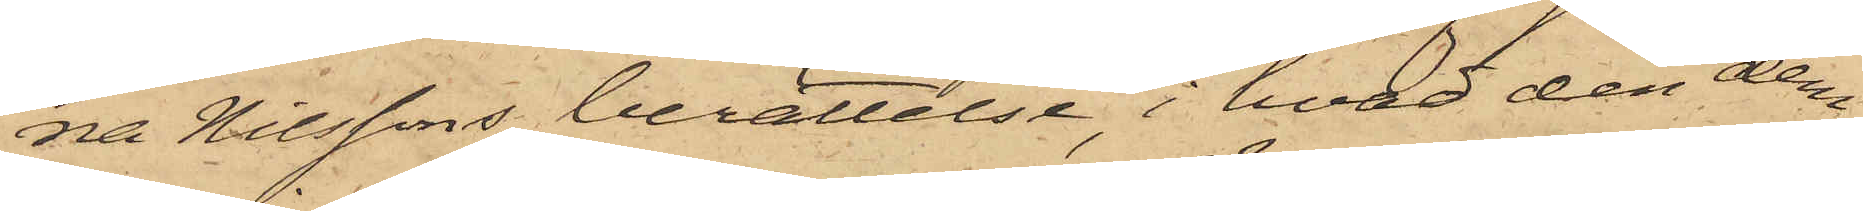na Nilssons berättelse, i hvad den dem
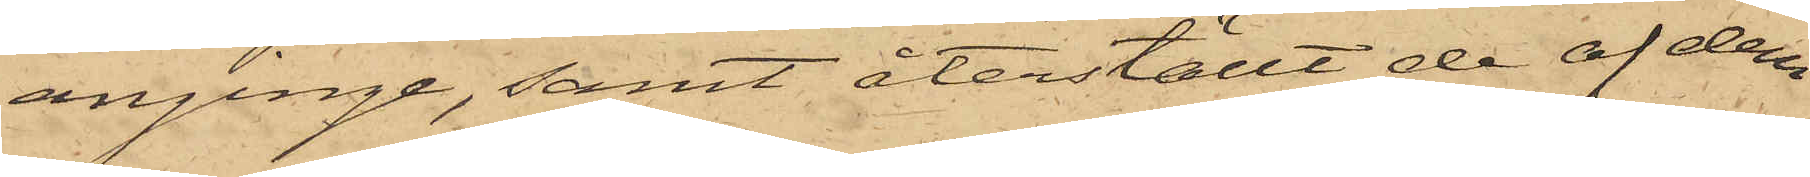anginge, samt återställt de af dem
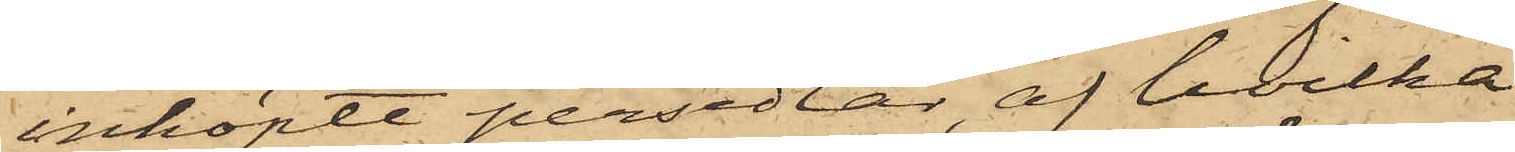inköpte persedlar, af hvilka
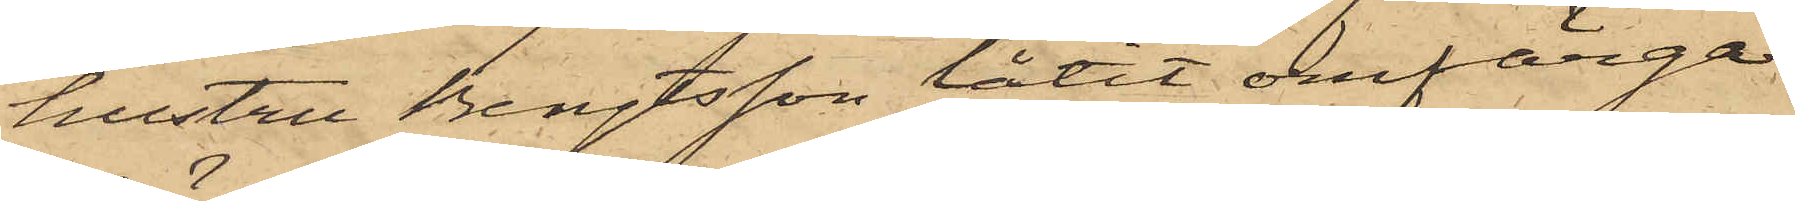hustru Bengtsson låtit omfärga
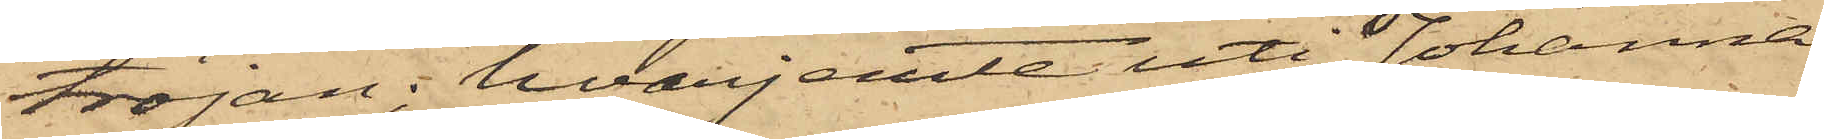tröjan; hvarjemte uti Johanna
